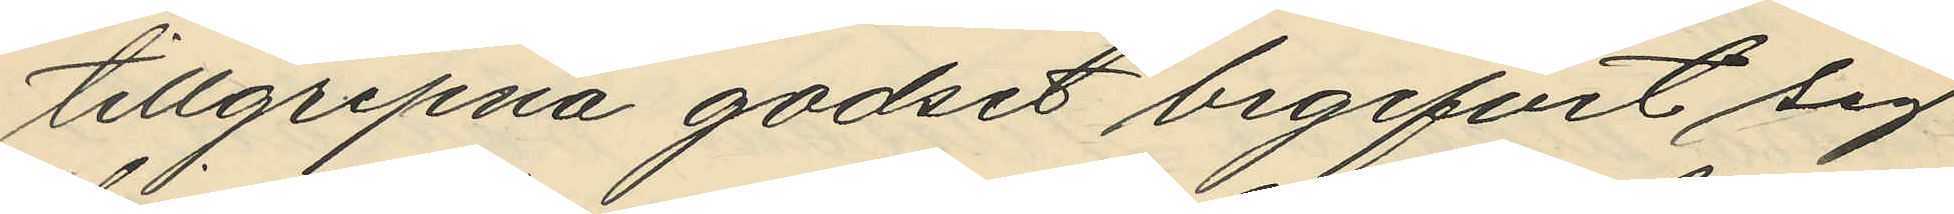tillgripna godset begifvit sig
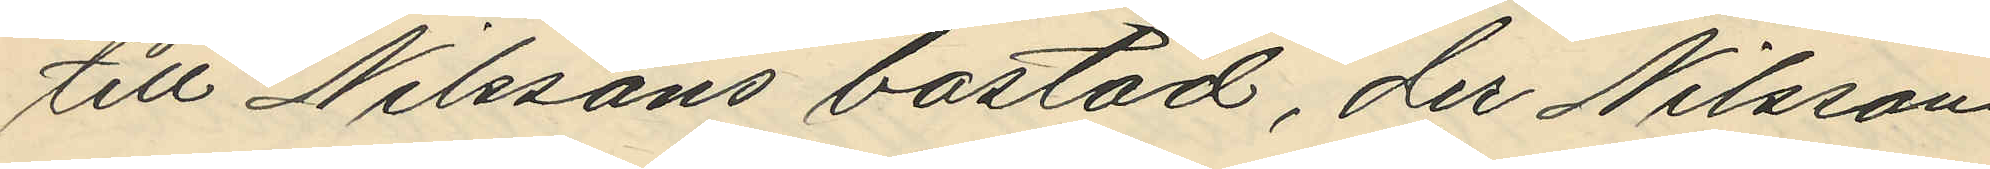till Nilssons bostad, der Nilsson
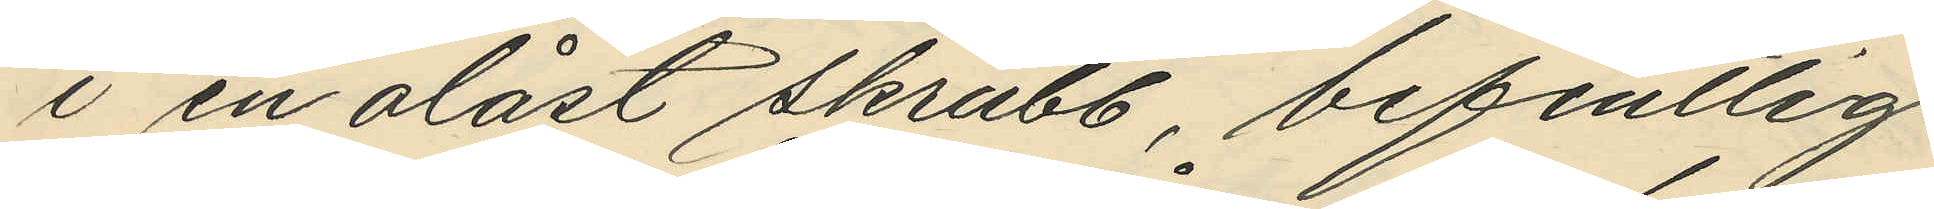i en olåst skrubb, befintlig
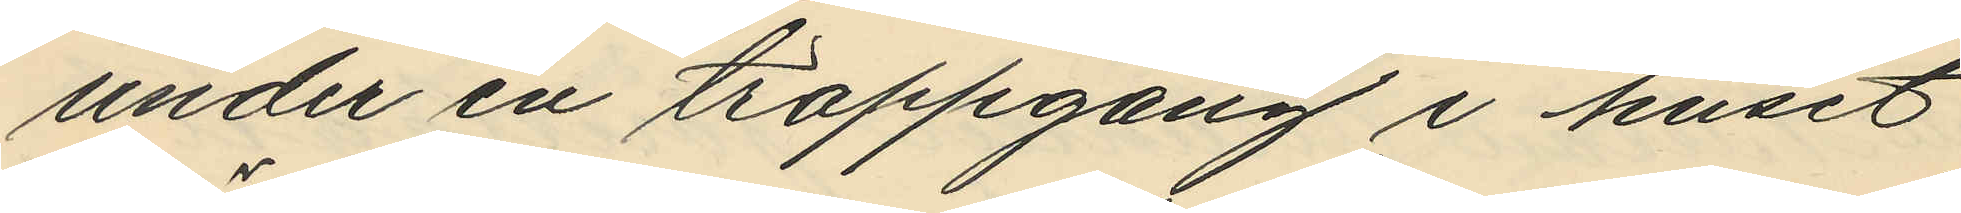under en trappgång i huset
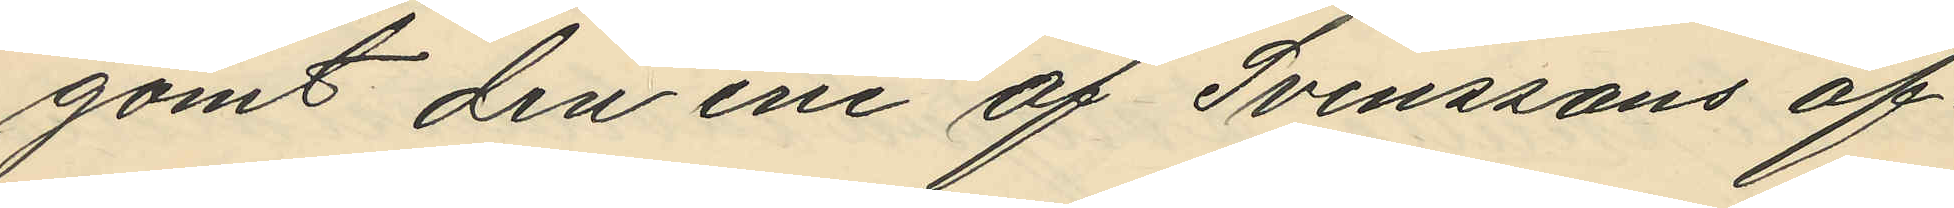gömt den ene af Svenssons öf¬
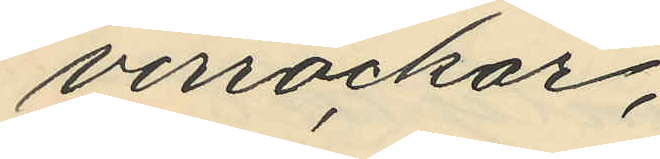verrockar;
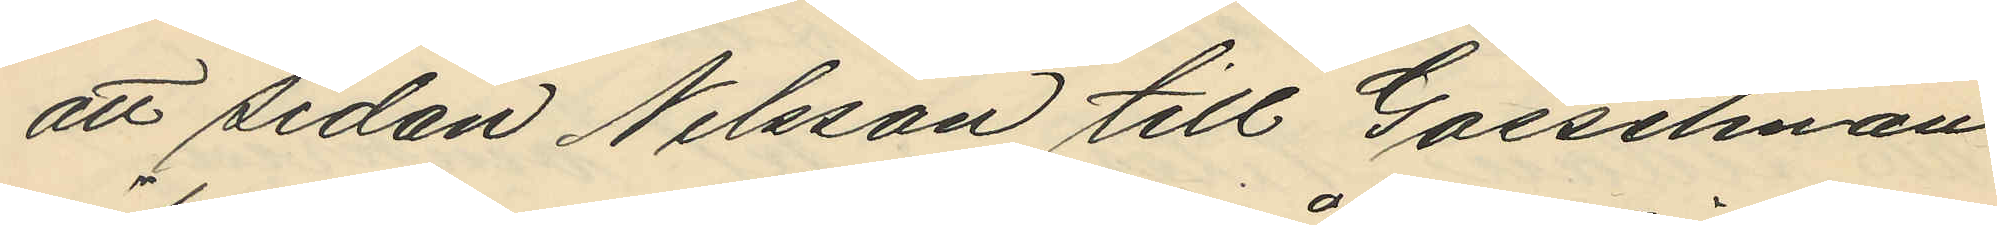att sedan Nilsson till Gosselman
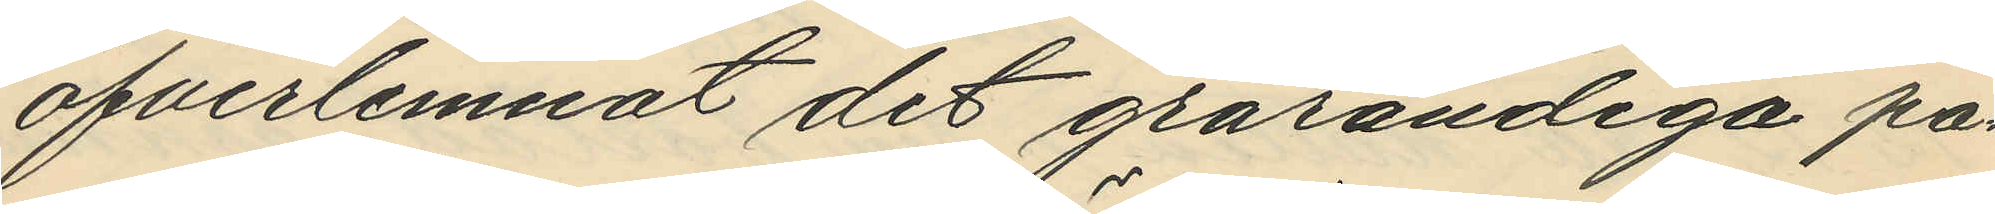öfverlemnat det grårandiga pa¬
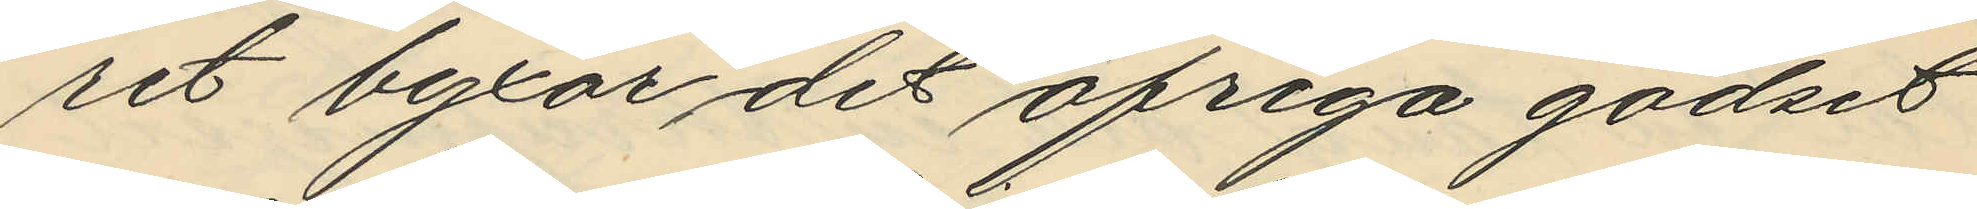ret byxor det öfriga godset
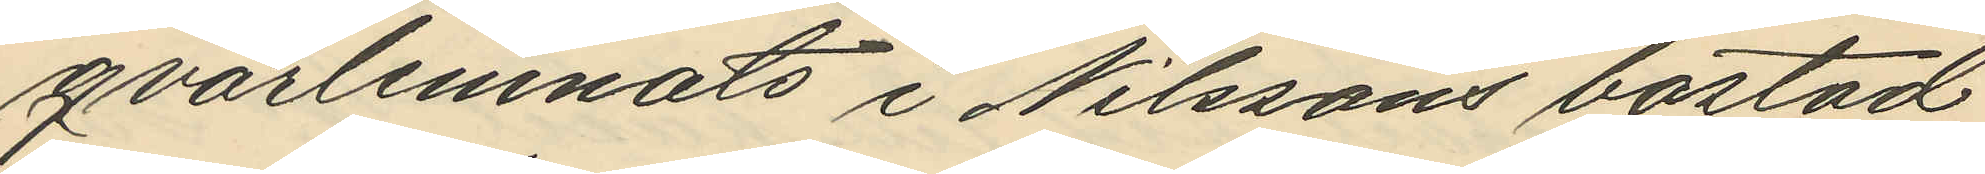qvarlemnats i Nilssons bostad,
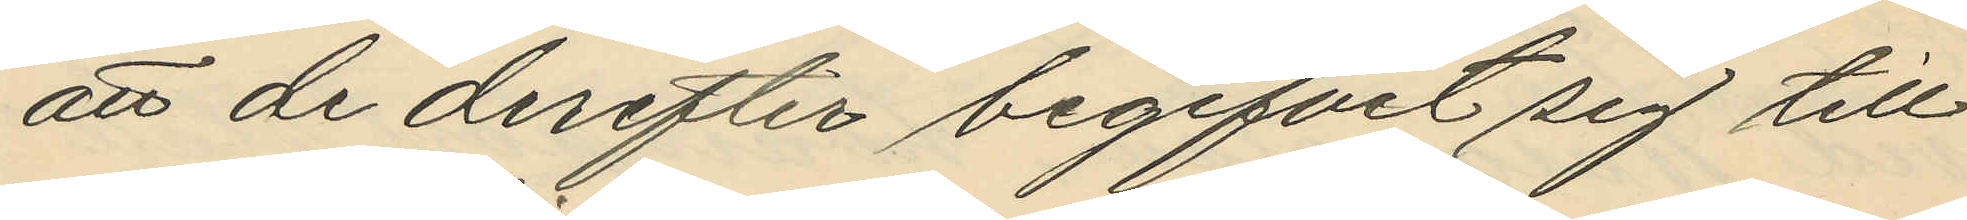att de derefter begifvit sig till
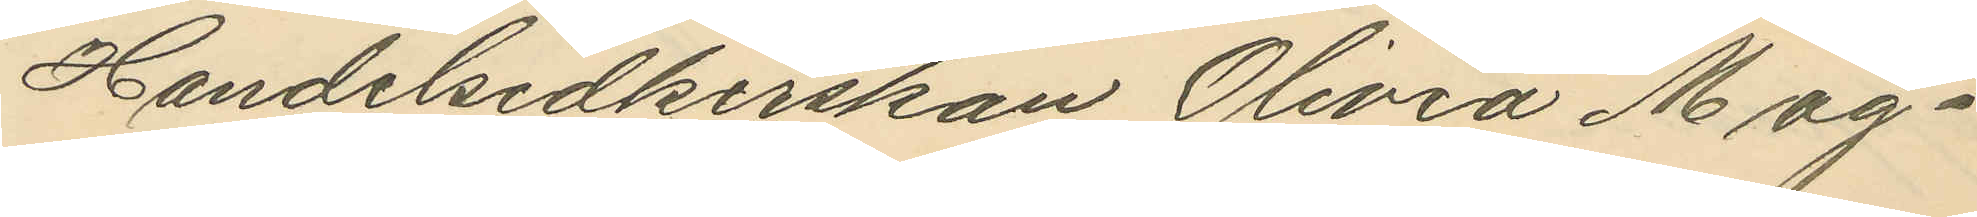Handelsidkerskan Olivia Mag¬
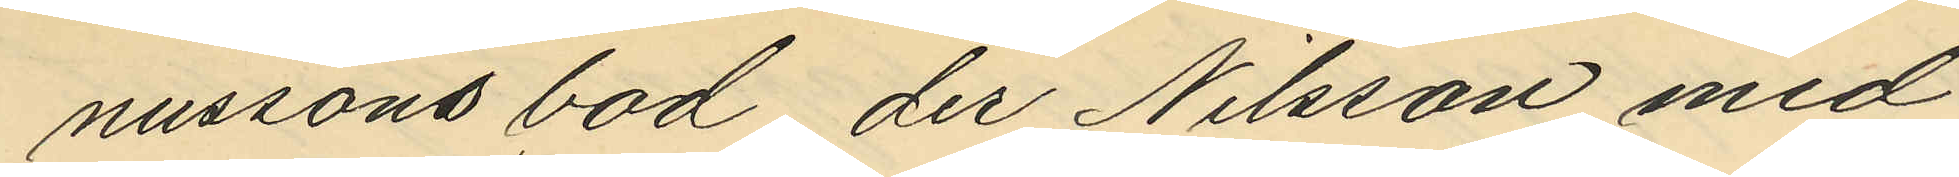nussons bod, der Nilsson med
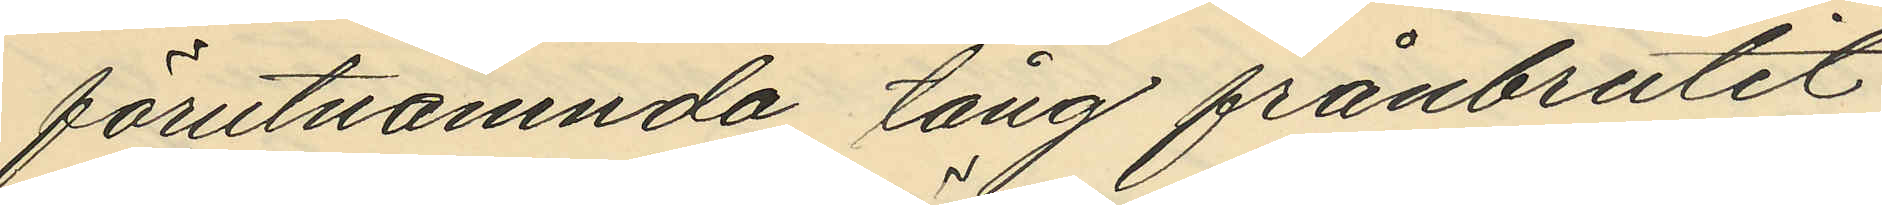förutnämnda tång frånbrutit
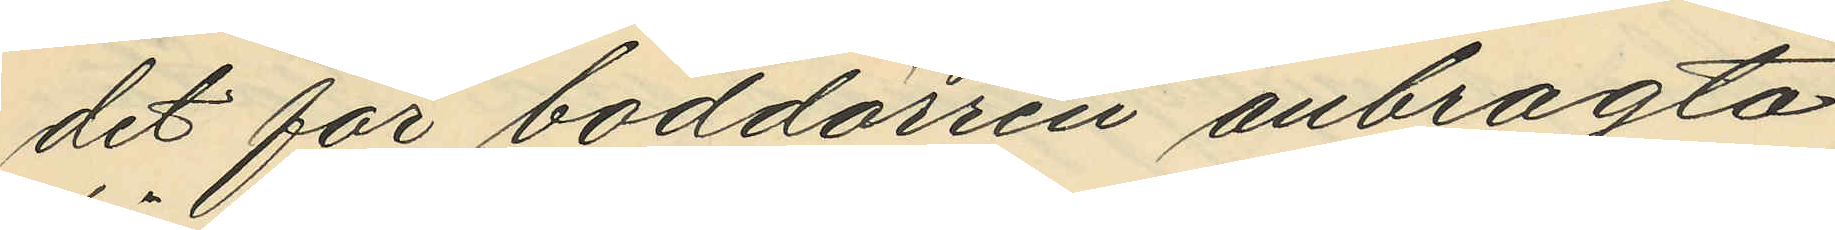det för boddörren anbragta
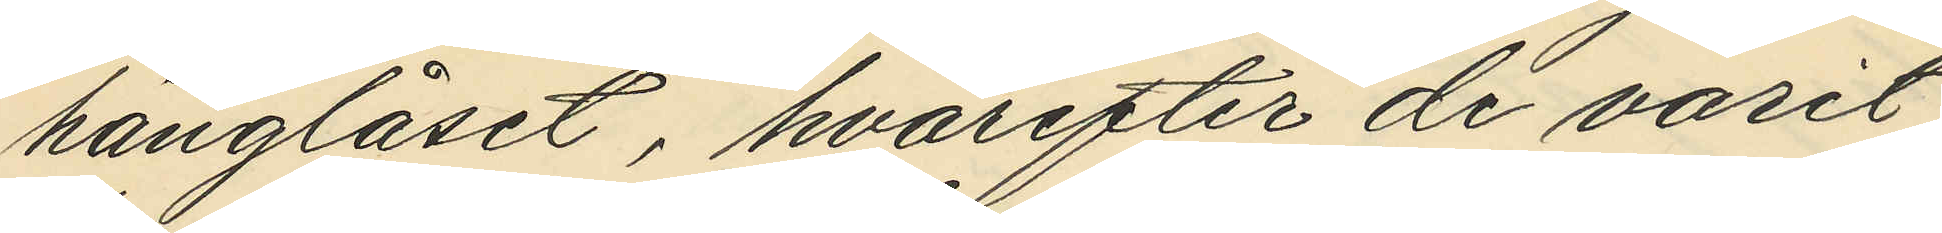hänglåset, hvarefter de varit
